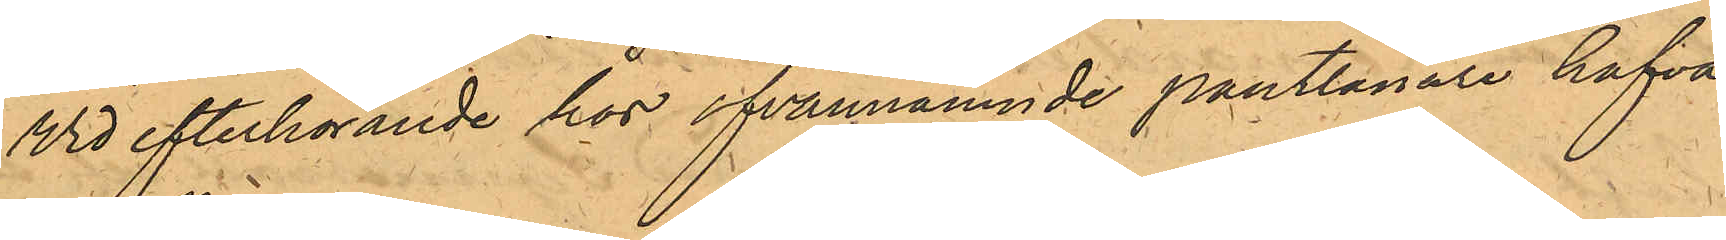Vid efterhörande hos ofvannämnde pantlånare hafva
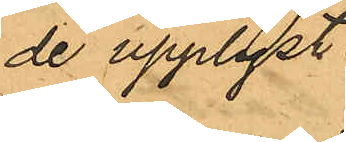de upplyst:
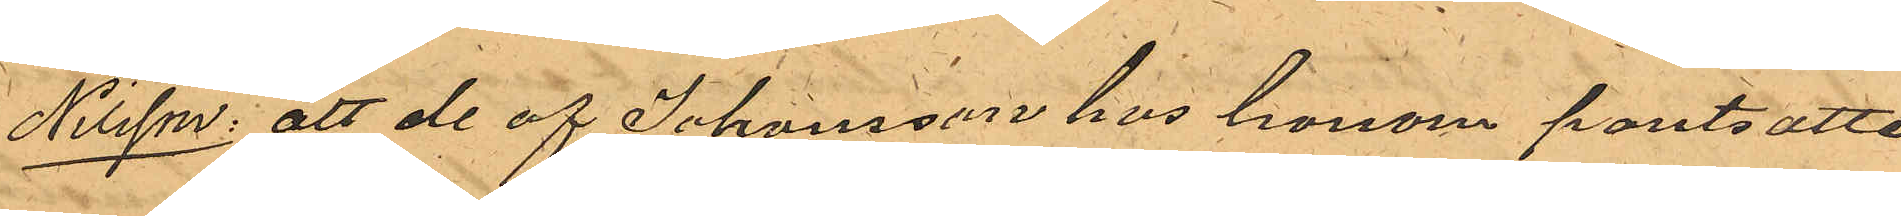Nilsson: att de af Johansson hos honom pantsatte
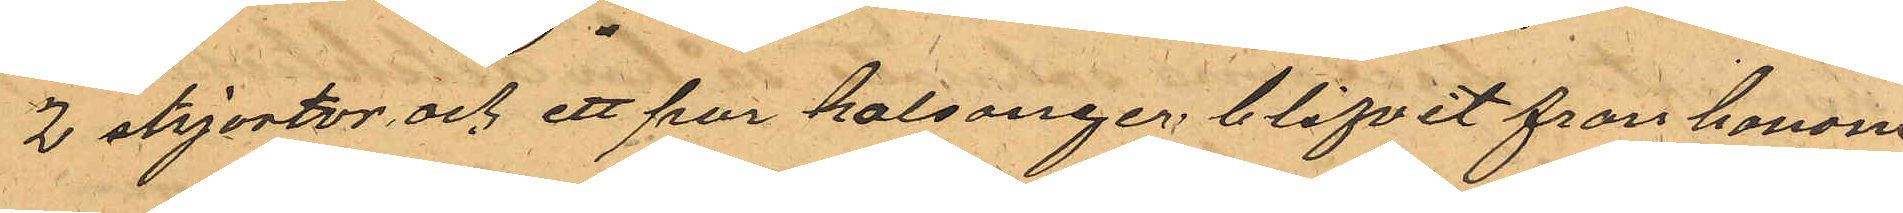2 skjortor och ett par kalsonger blifvit fran honom
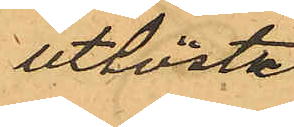utlösta.
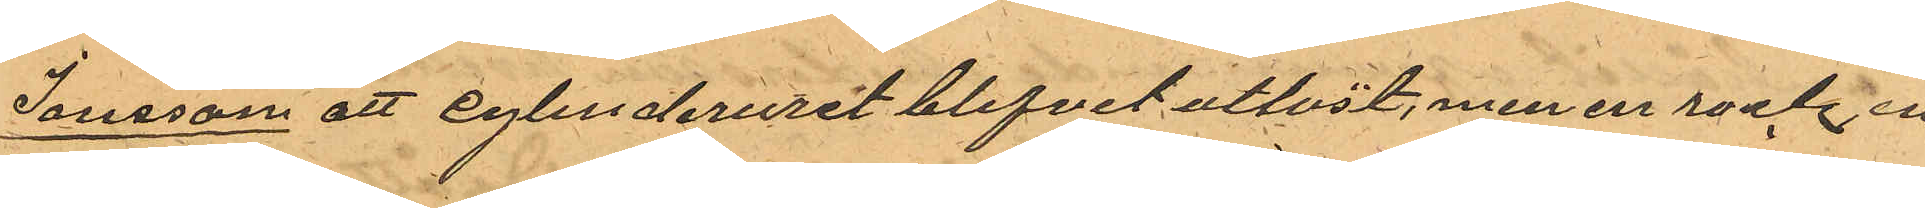Jansson att cylinderuret blifvit utlöst, men en rock, en
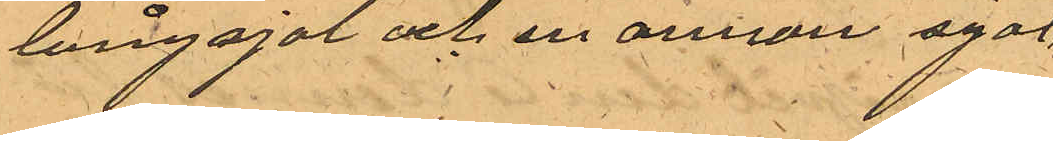långsjal och en annan sjal,
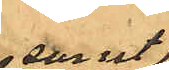samt
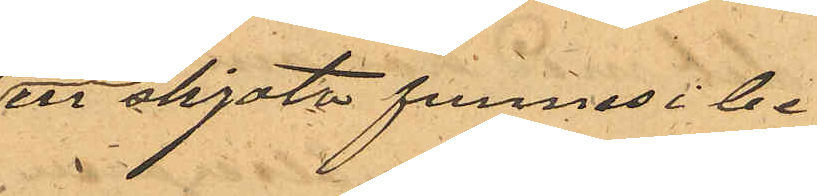en skjorta funnes i be¬
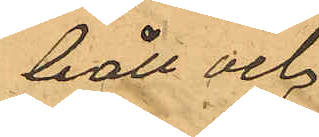håll och
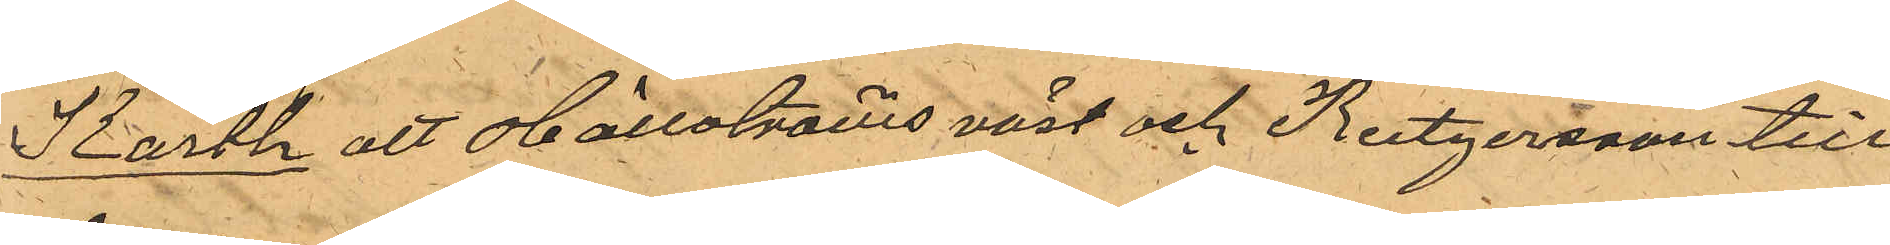Karth att Hällströms väst och Rutgersson till¬
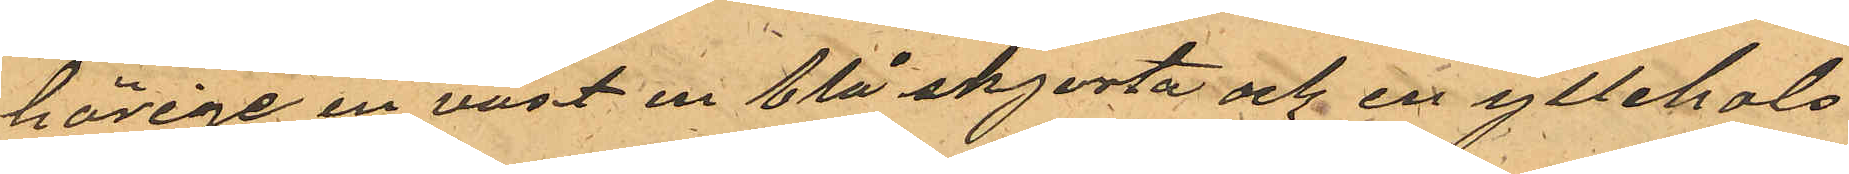hörige en väst en blå skjorta och en yllehals¬
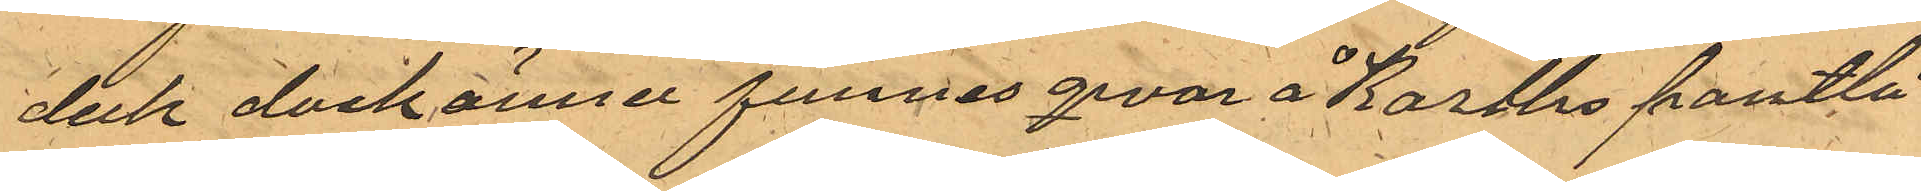duk dock ännu funnes qvar å Karths pantlå¬
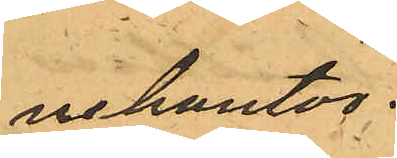nekontor.
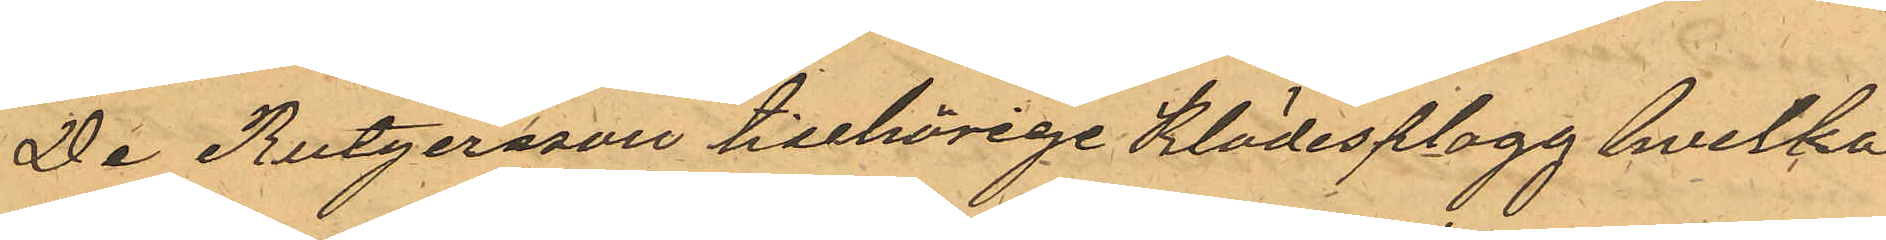De Rutgersson tillhörige Klädesplagg hvilka
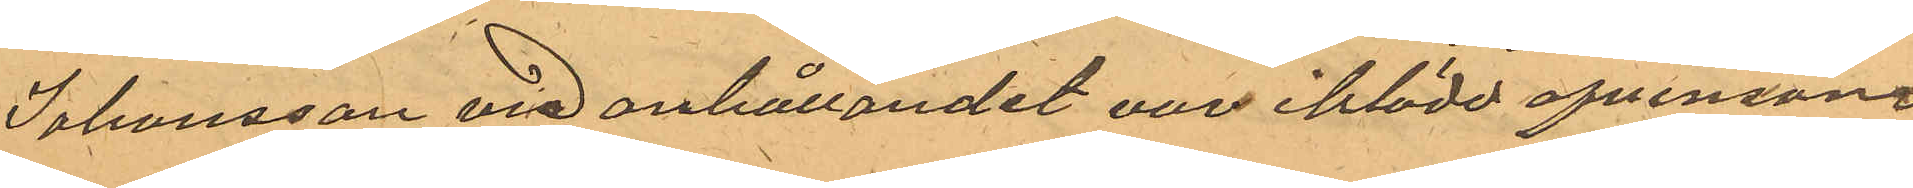Johansson vid anhållandet var iklädd afvensom
